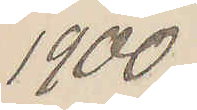1900
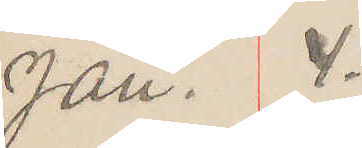Jan. 4.
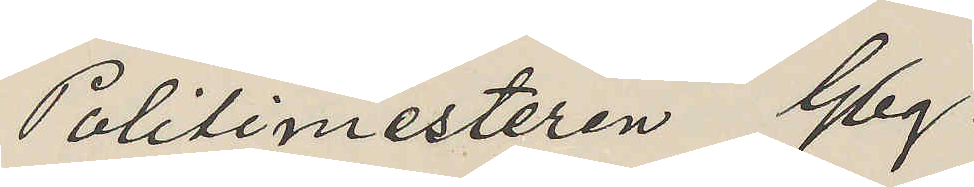Politimesteren Gbg.
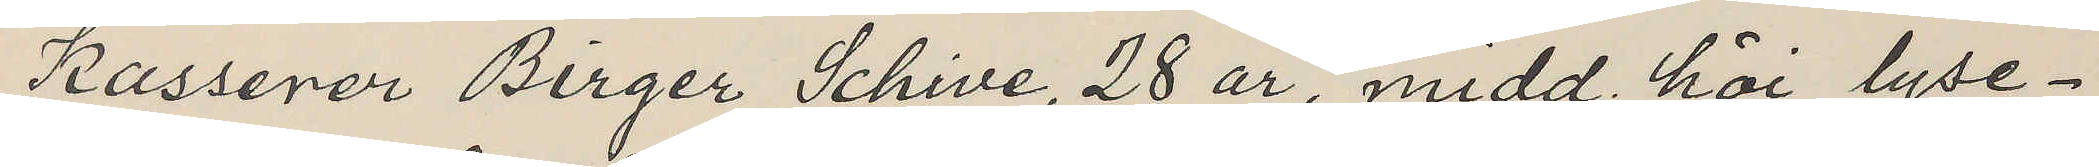Kasserer Birger Schive, 28 år, midd. höi, lyse¬
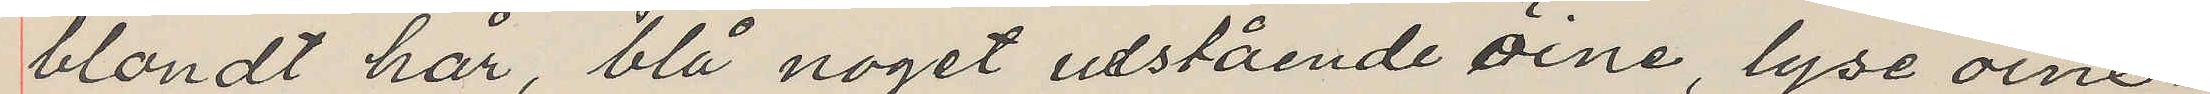blondt hår, blå noget utstående öine, lyse öine¬
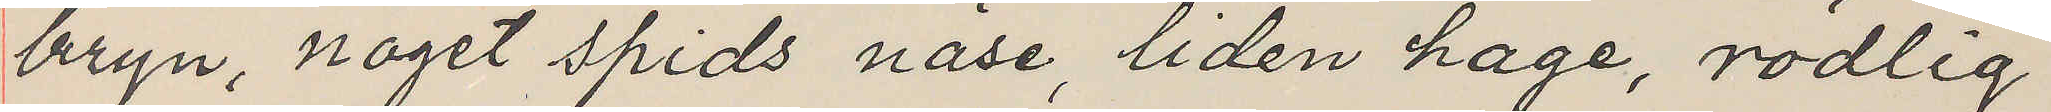bryn, noget spids näse, liden hage, rödlig
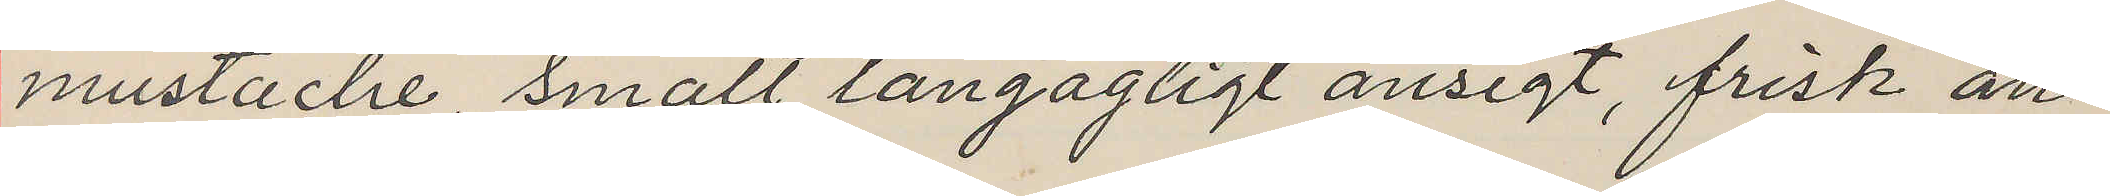mustache, smalt langagtigt ansigt, frisk an¬
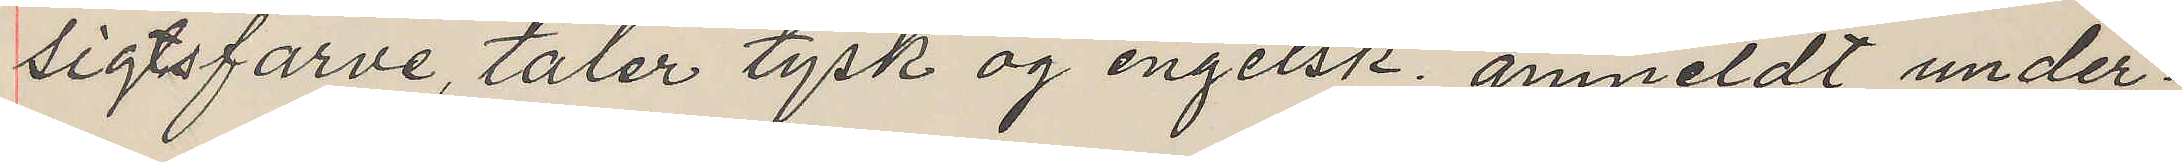sigtsfarve, taler tysk og engelsk; anmeldt under¬
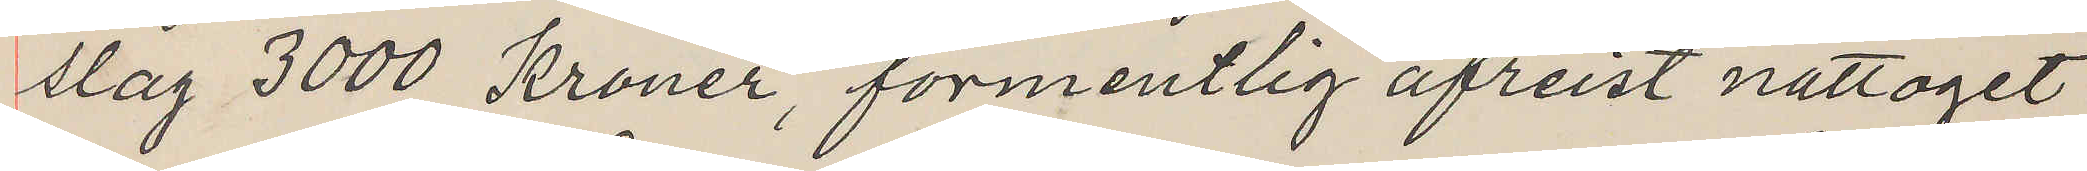slag 3000 Kroner, formentlig afreist nattoget
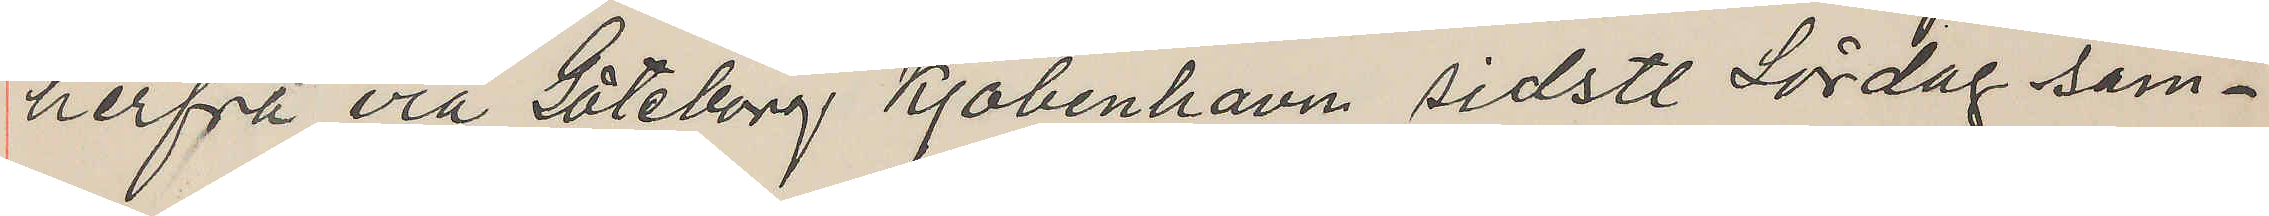herfra via Göteborg Kjöbenhavn sidstl Lördag sam¬
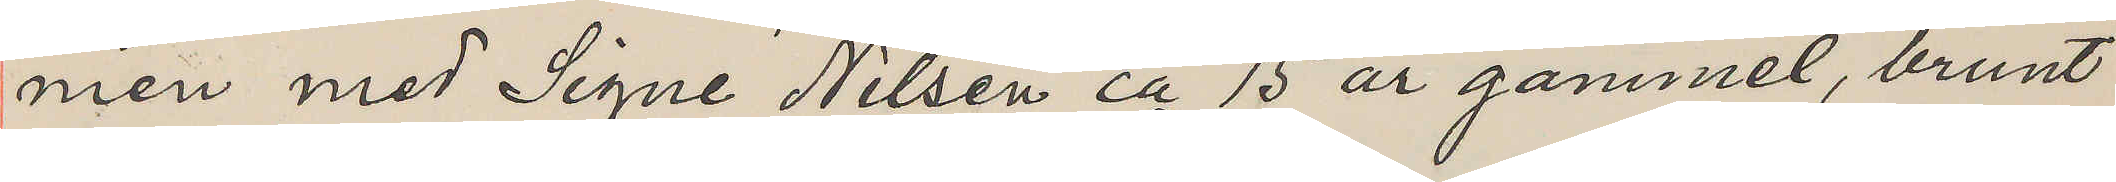men med Signe Nilsen ca 15 år gammel, brunt
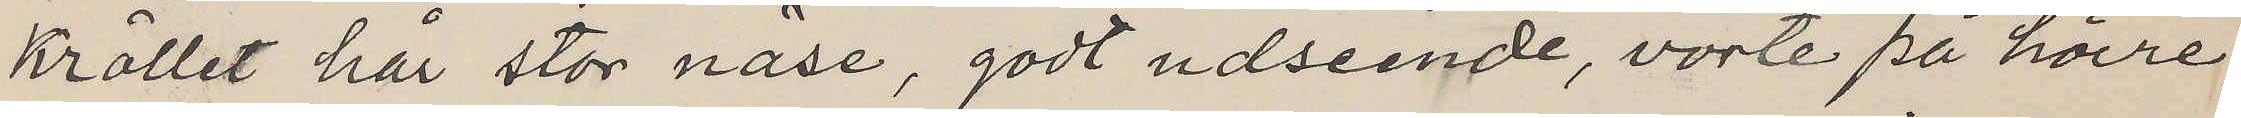kröllet hår stor näse, godt udseende, vorte på höire
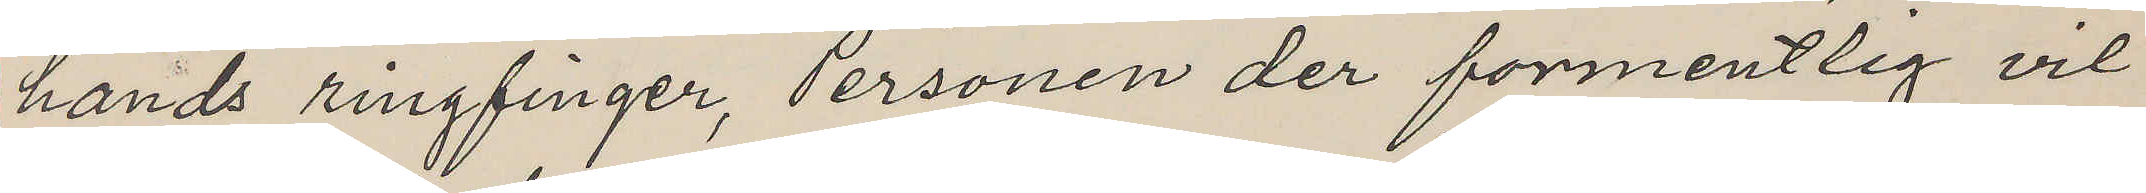hands ringfinger, Personen der förmentlig vil
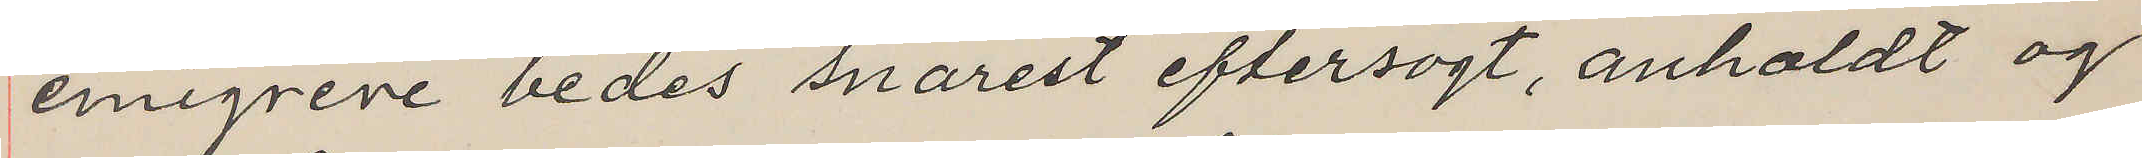emigrere bedes snarest eftersögt, anholdt og
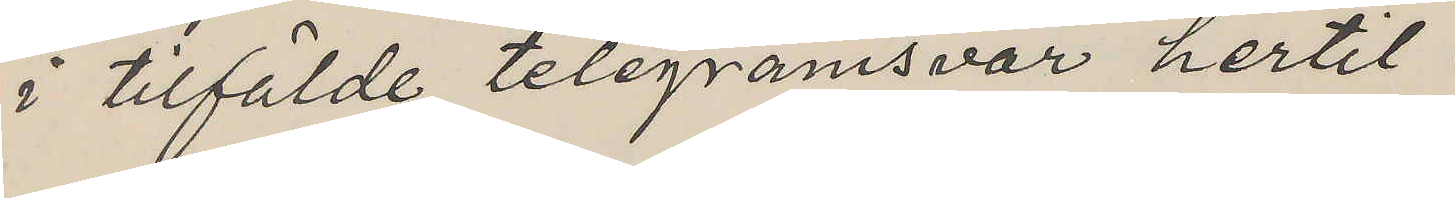i tilfälde telegramsvar hertil.
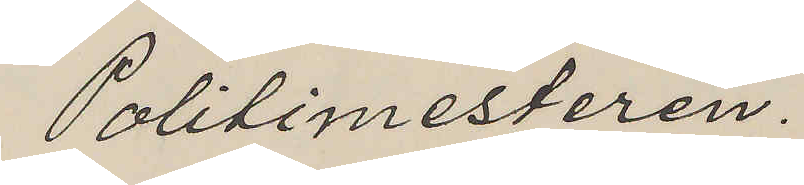Politimesteren.
